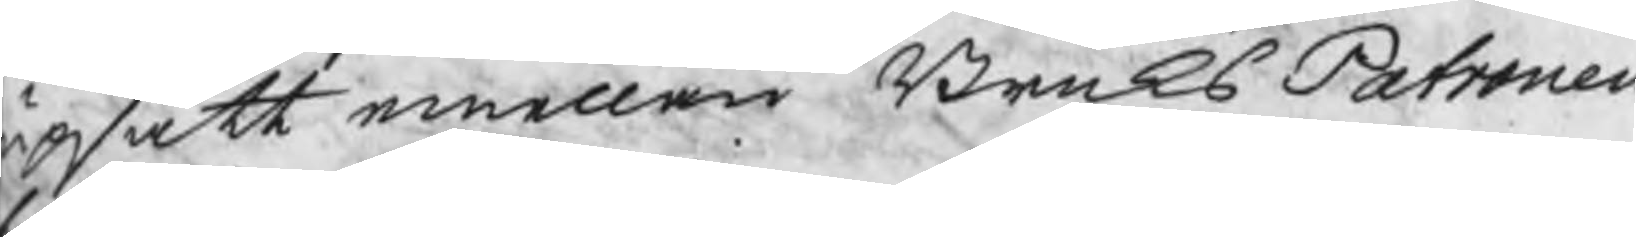upsatt emellan BruksPatronen
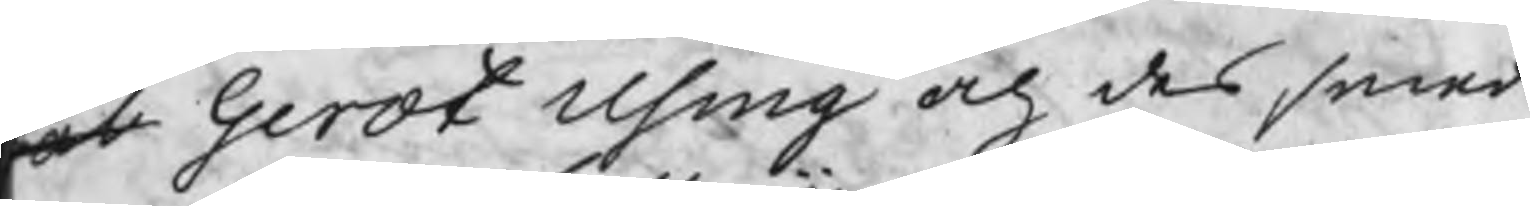ot Gerdt Using och des smed
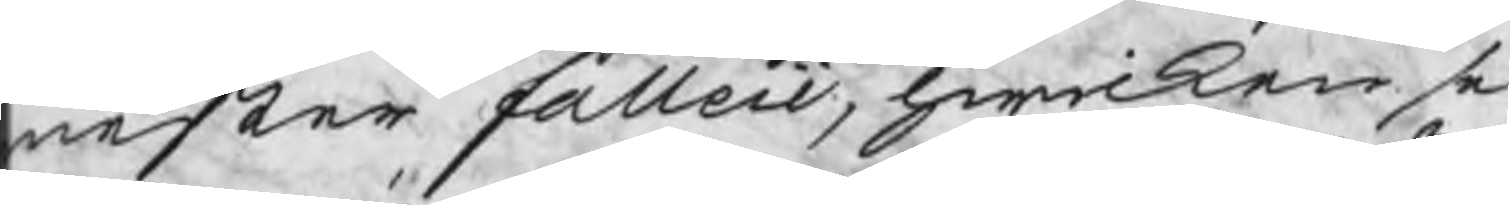mester falleii, hwilken se
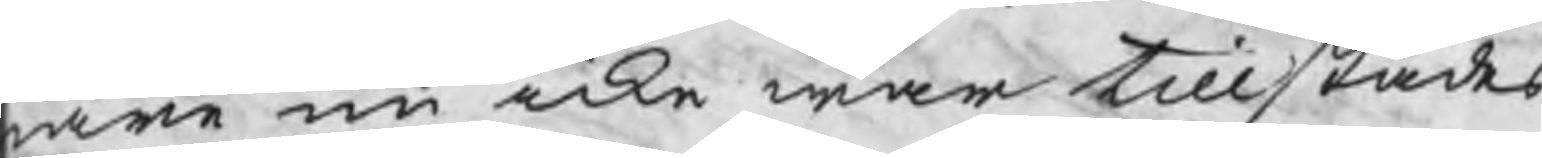are nu icke war tillstädes
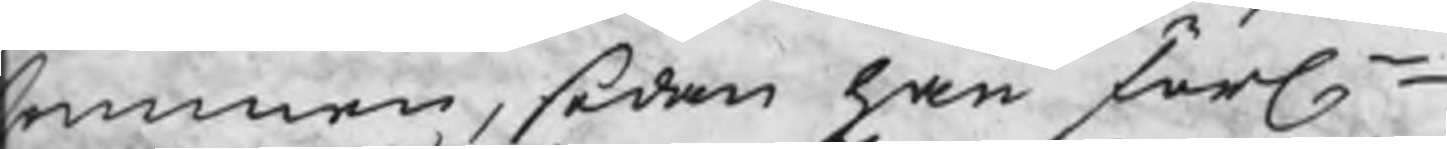ommen, sedan han förl.
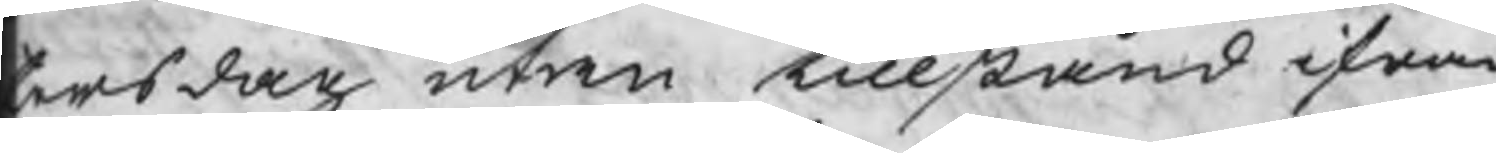torsdag utan tillstånd ifrån
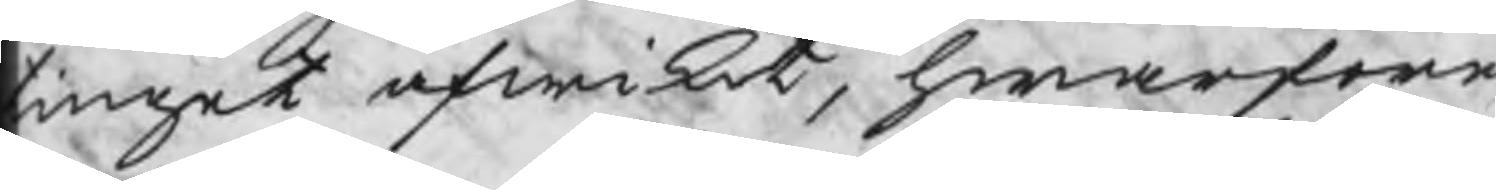tinget afwikit, hwarföre
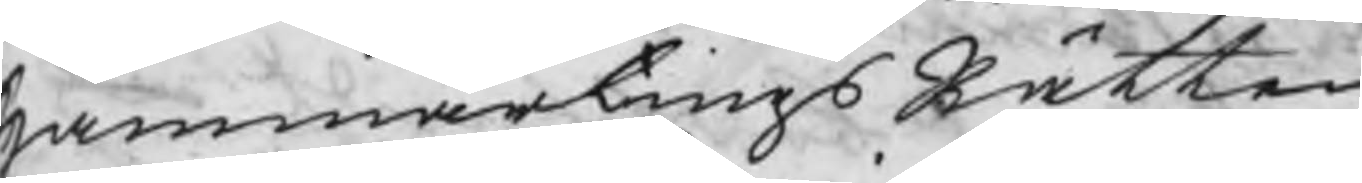HammartingsRätten
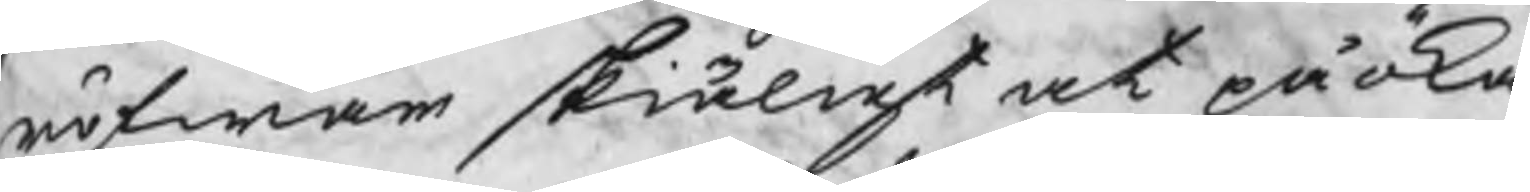röfwar skiäligt at påöka
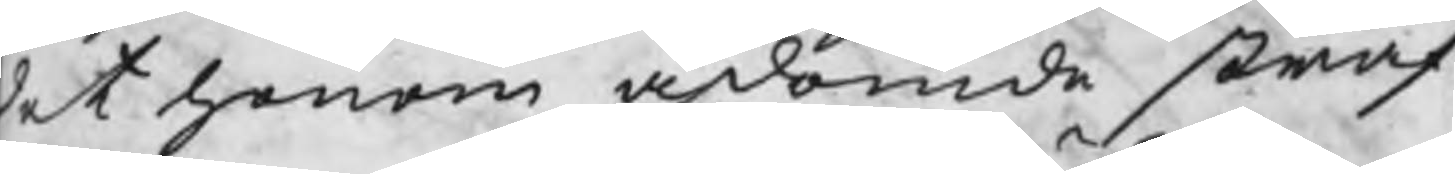det honom ådömde straf¬
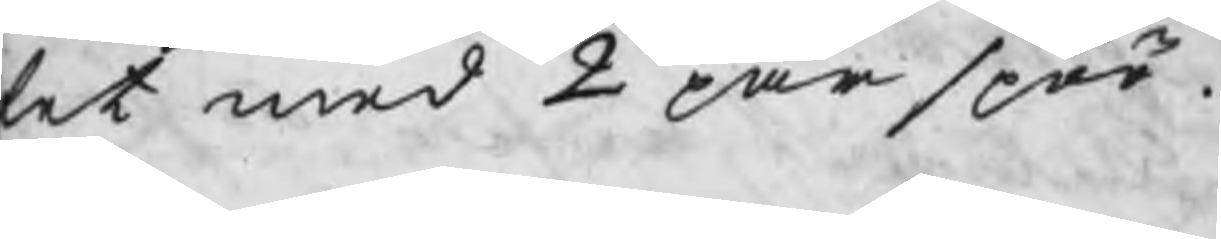fet med 2 par spöö.
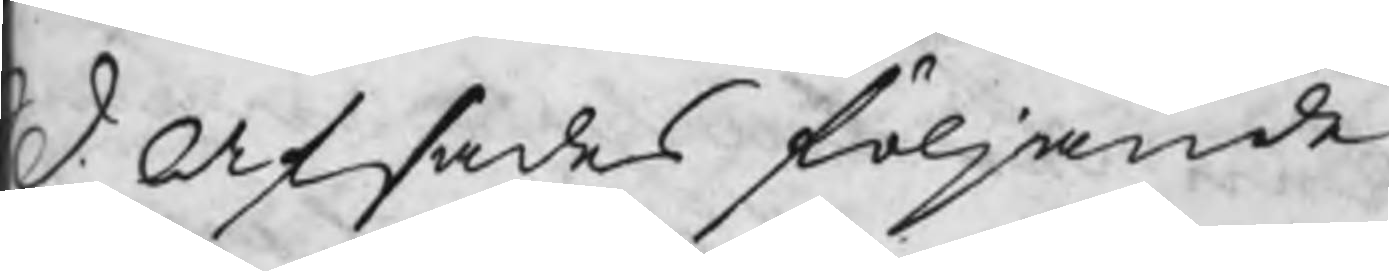d: afsades följande
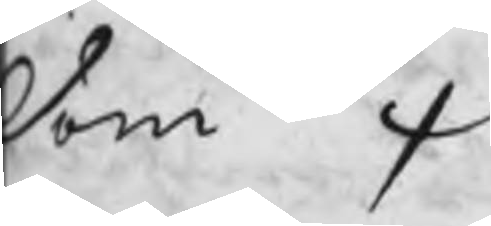dom  /
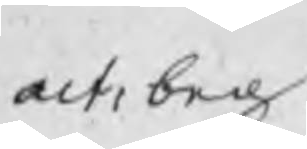act: beg:
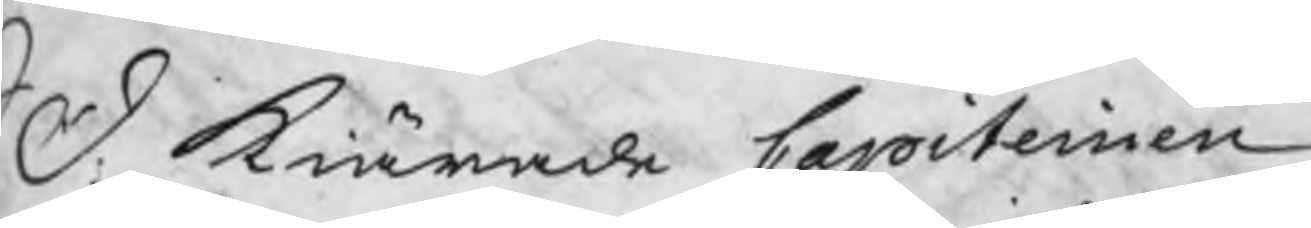S D: kiärade Capiteinen
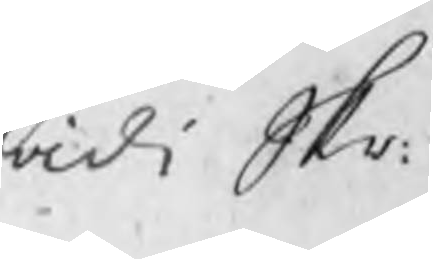vidi Skr:
